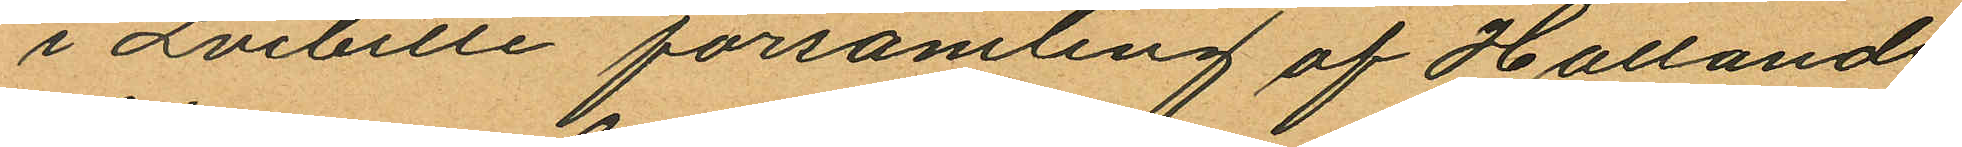i Qvibille församling af Hallands
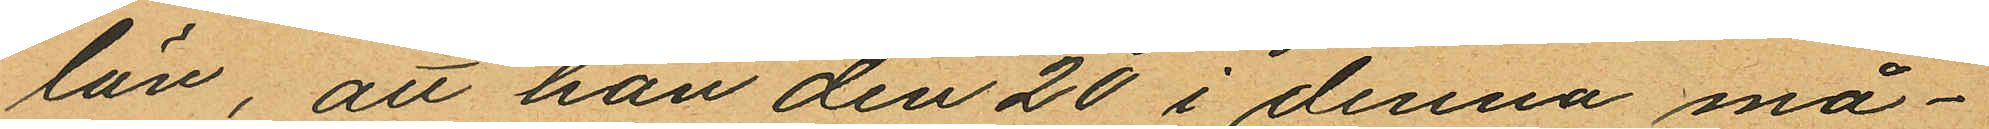län, att han den 20 i denna må¬
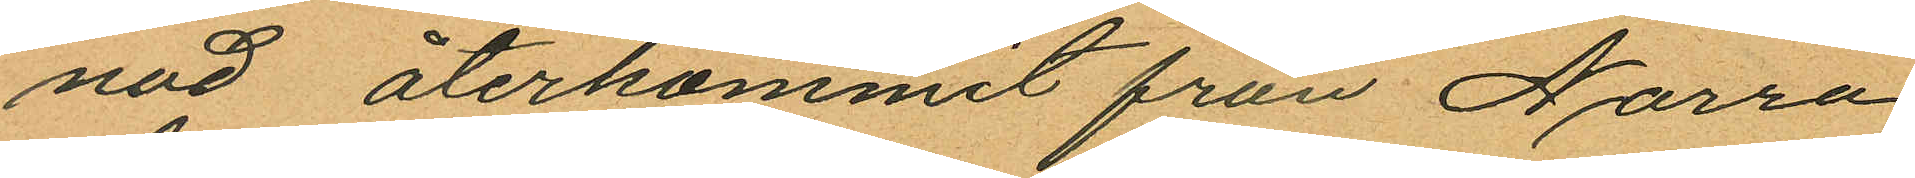nad återkommit från Norra
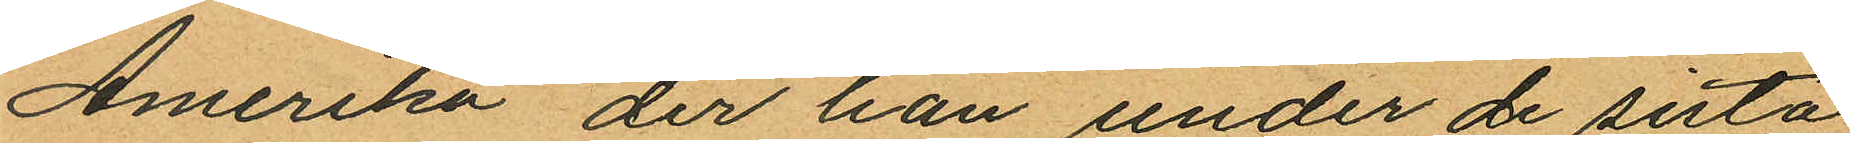Amerika der han under de sista
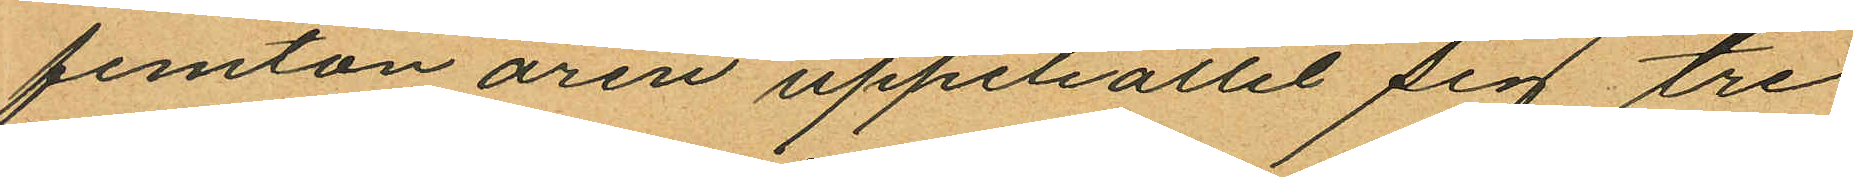femton åren uppehållit sig tre
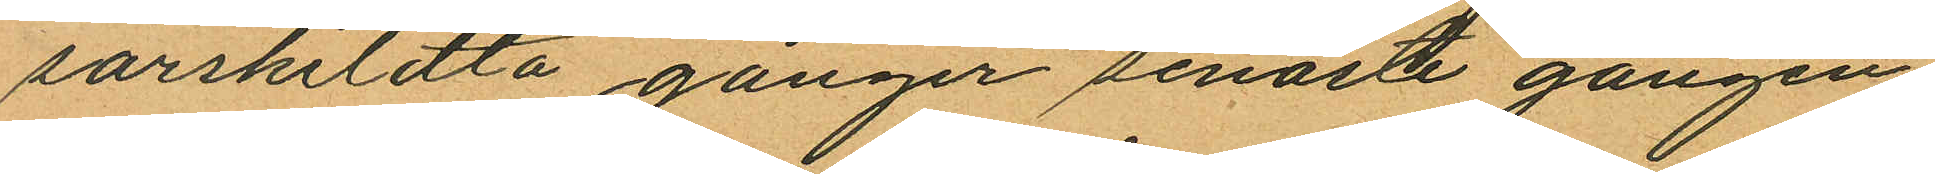särskildta gånger senaste gången
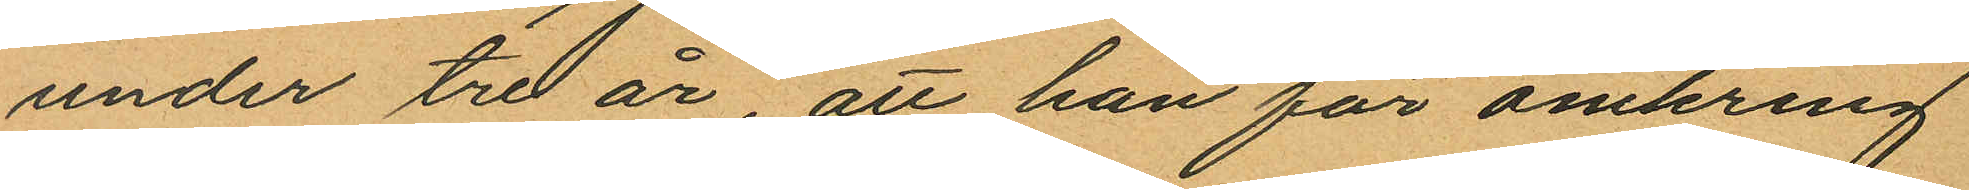under tre år, att han för omkring
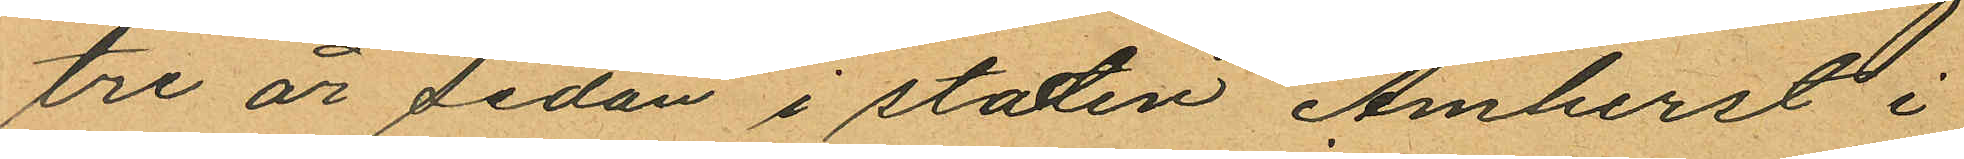tre år sedan i staden Amberst i
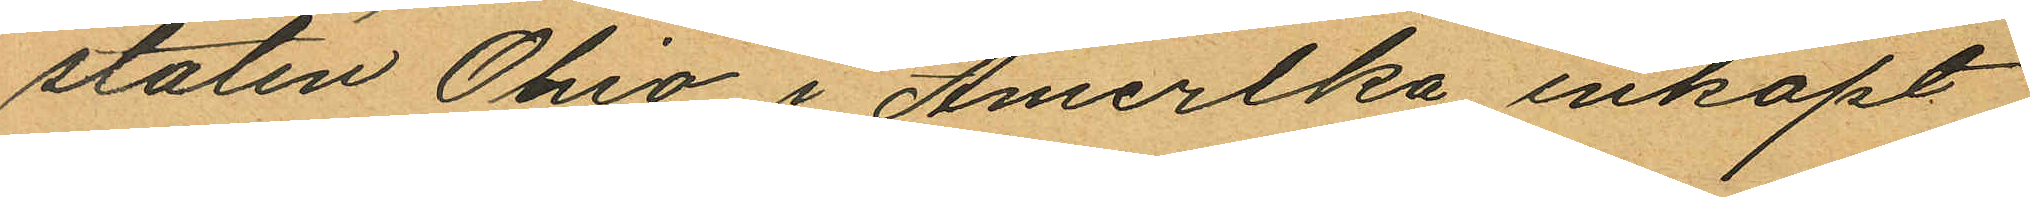staten Ohio i Amerika inköpt
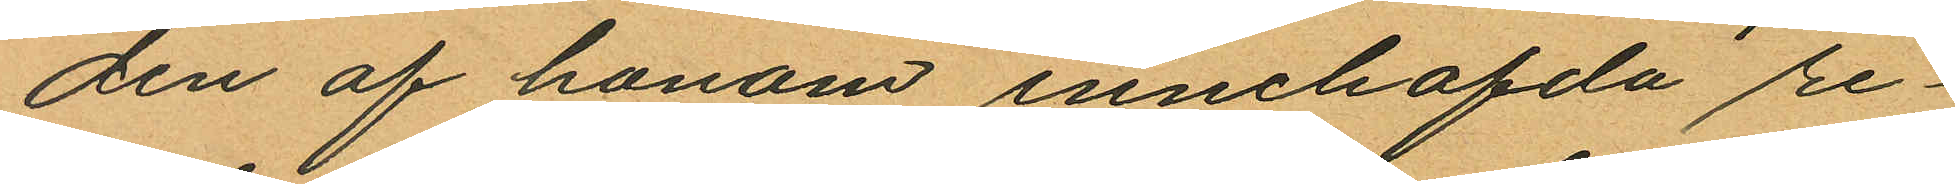den af honom innehafda re¬
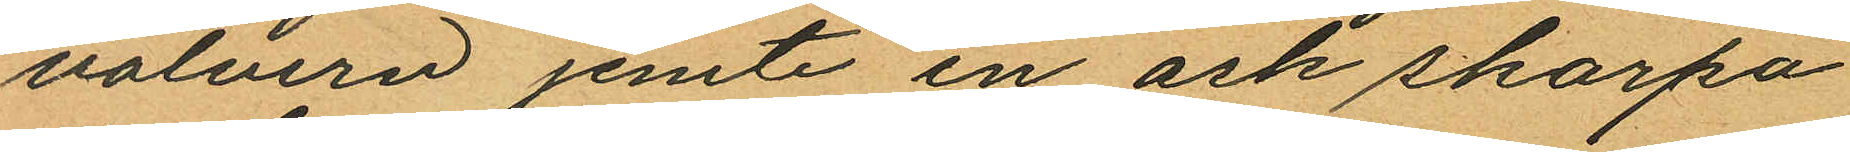volvern jemte en ask skarpa
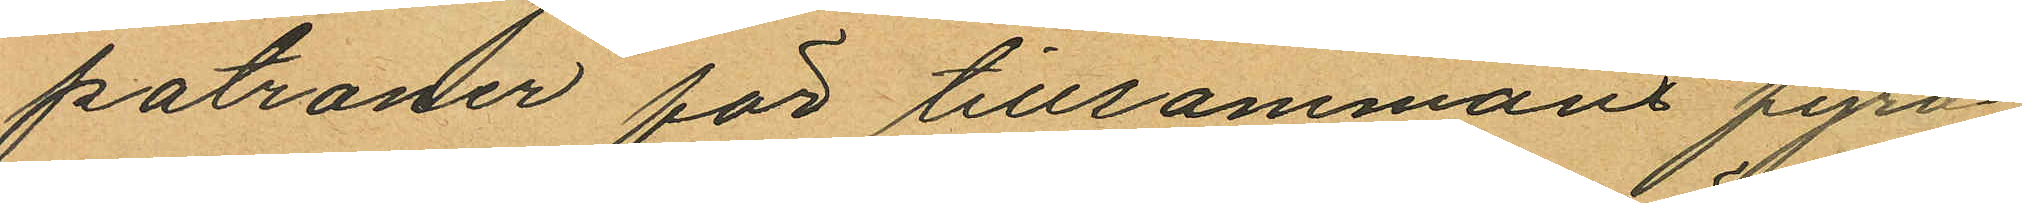patroner för tillsammans fyra
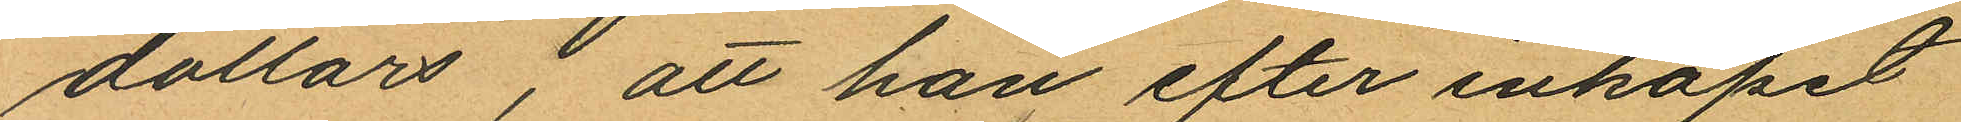dollars, att han efter inköpet
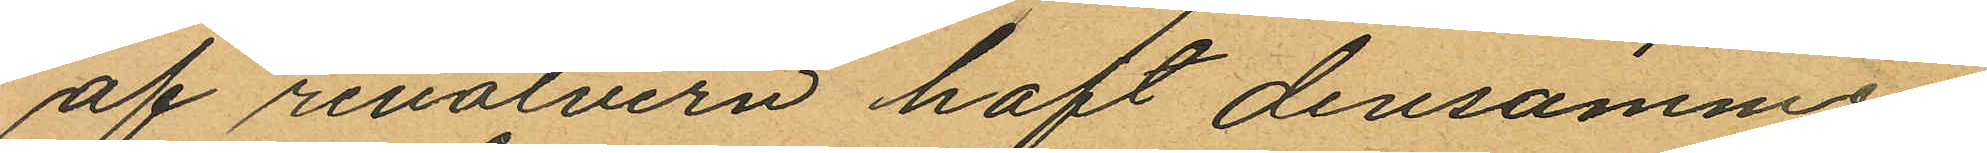af revolvern haft densamme
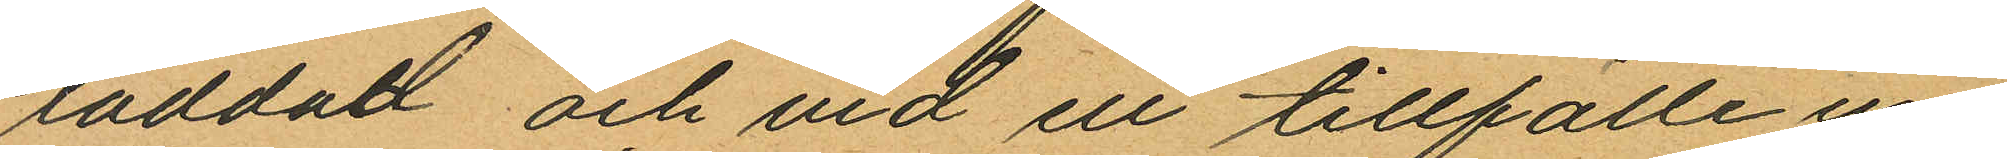laddad och vid ell tillfälle un
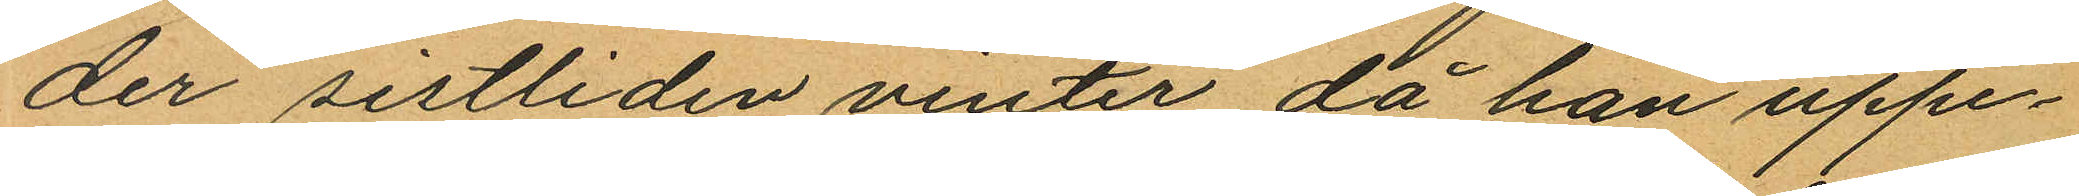der sistliden vinter, då han uppe¬
